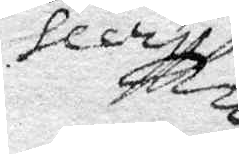Secret
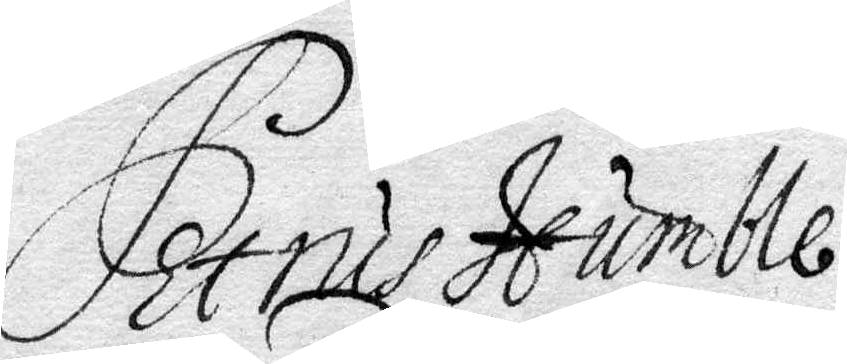Petrus Humble
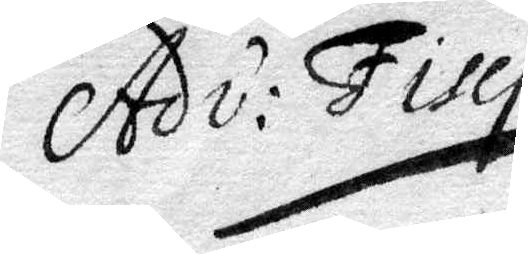Adv: Fisci:
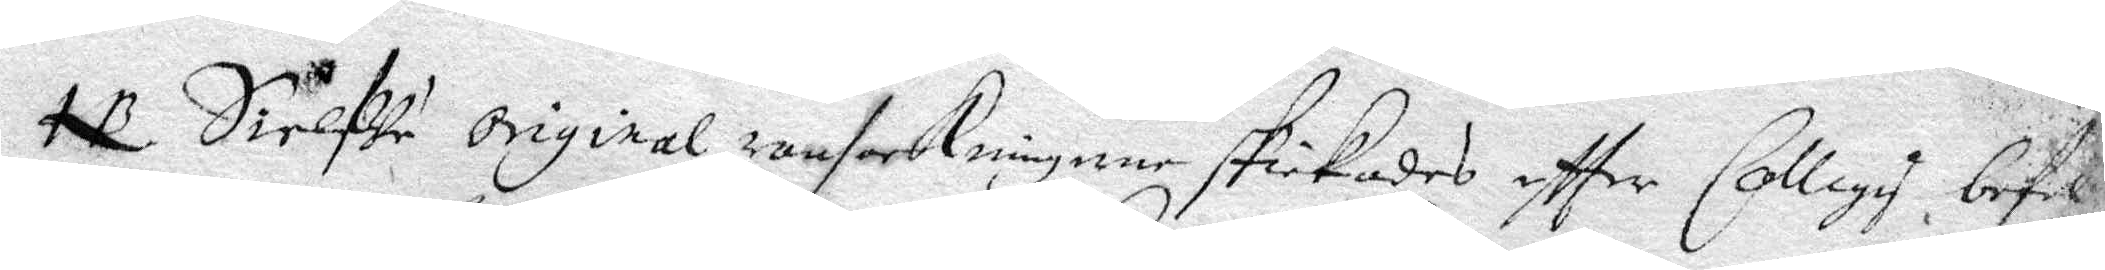NB Sielfwa Original ransakningen skickades eftter Collegis befal¬
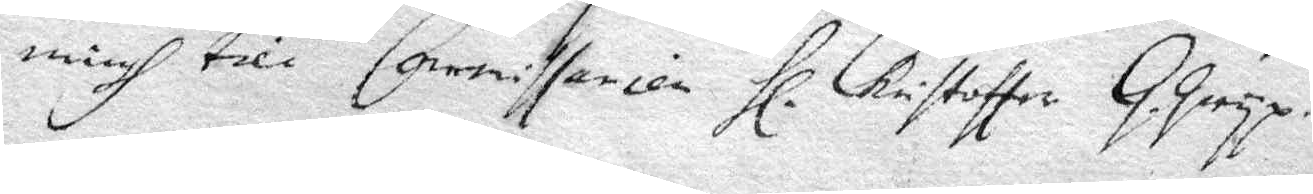ningh till Commissarien Hl. Christoffer G.gryp.
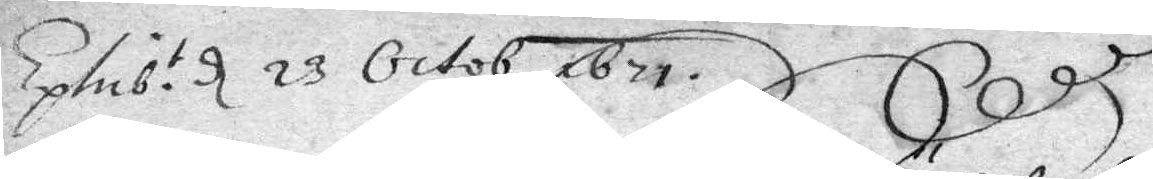Exlub.t d 23 Octob 1671
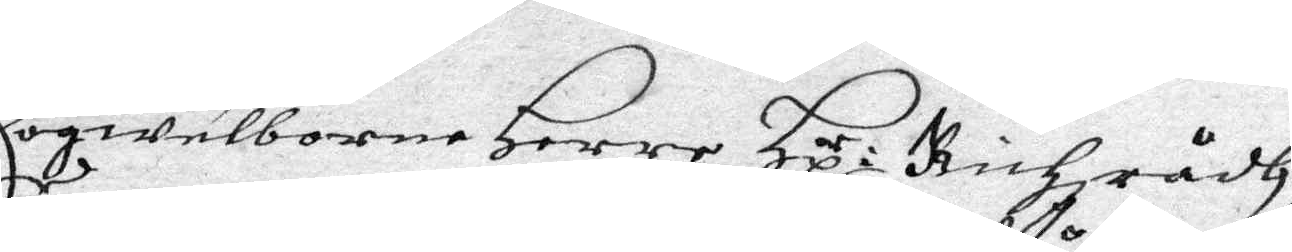Högwelborne Herre Hx:r Richzrådh
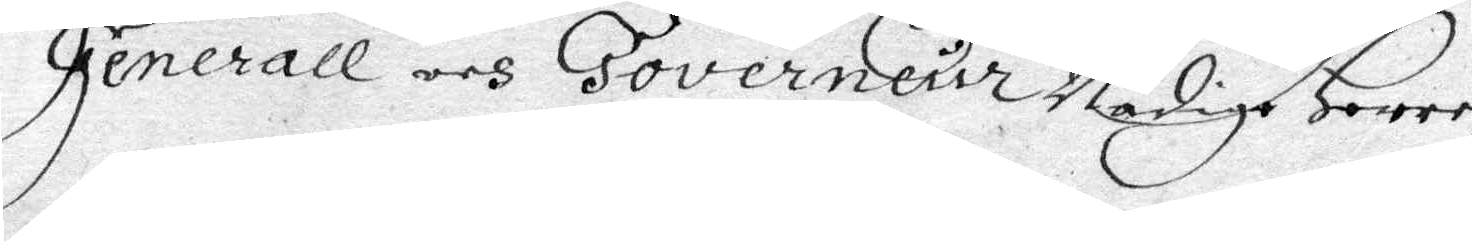Generall och Governeur Nådige Here,
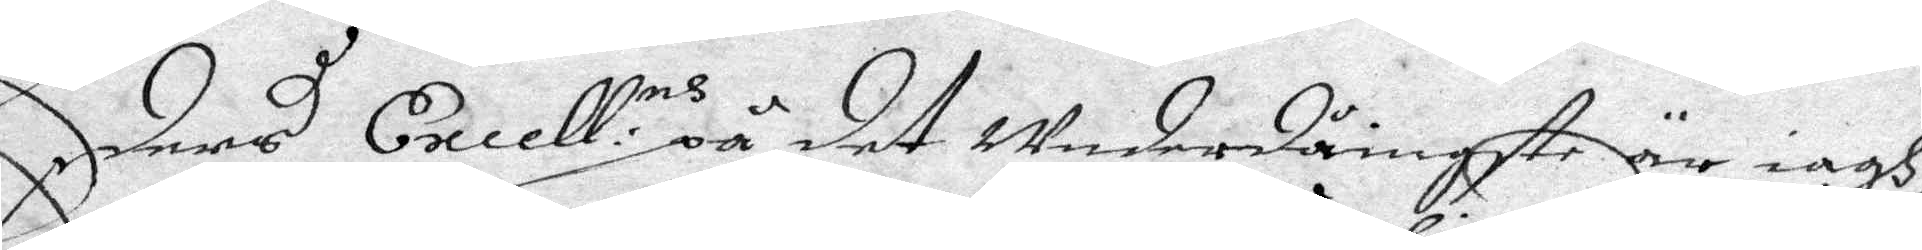Eders Excell:ns på det Underdånigste är iagh
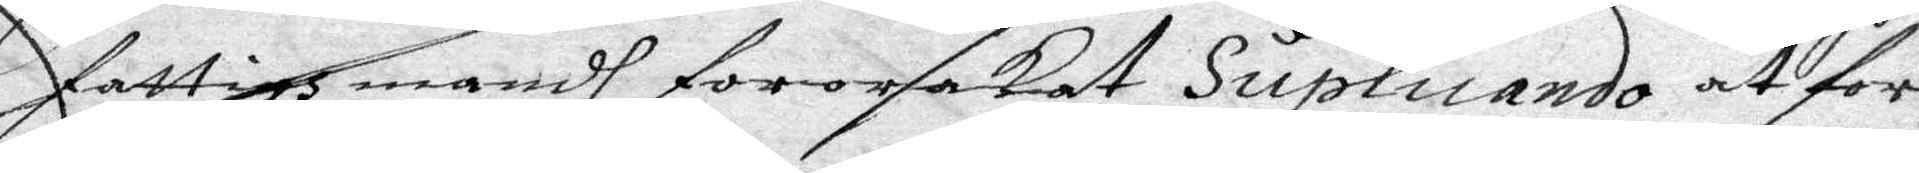fattige mandh fororsakat Suplicado at for¬
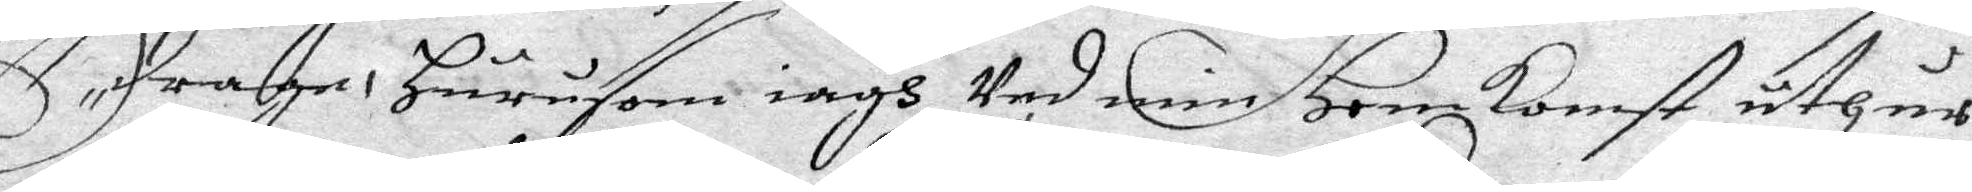draga Hurusom iagh min Hemkomst uthur
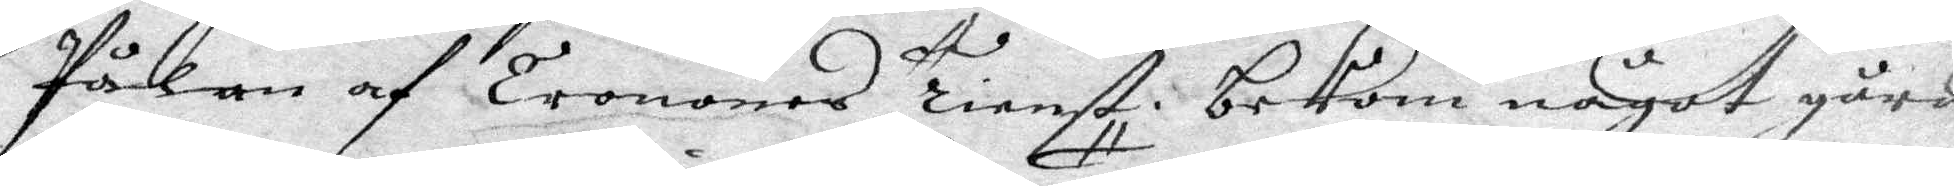Pålan af Cronans Tienst bekom något gård¬
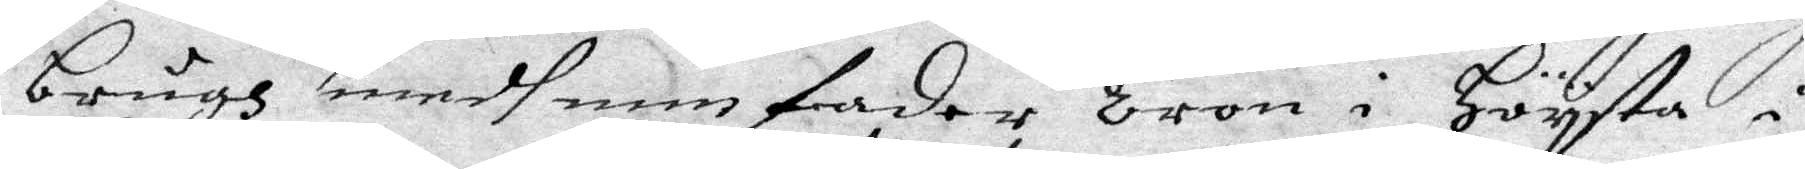brugs medh min fader Tron i Högsta i
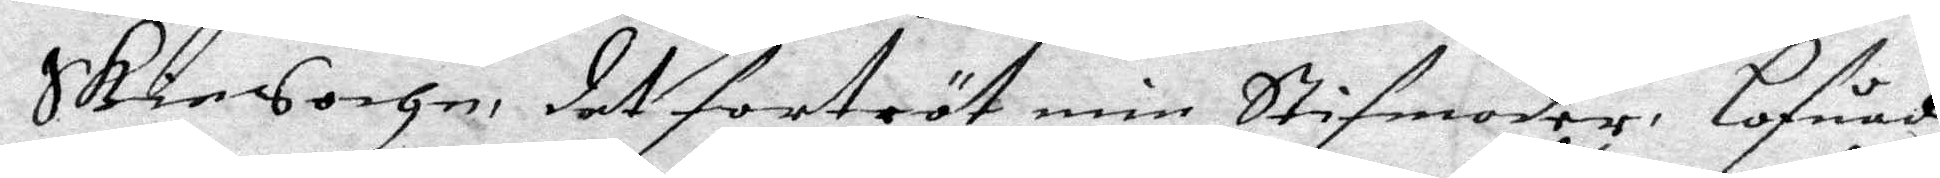Skien Sochn det fortröt min Stifmoder, lofuade
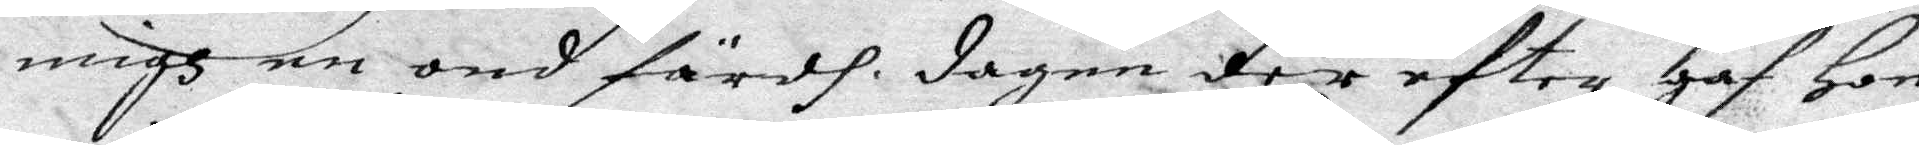migh e ond färdh, dagen der efter gaf Hon
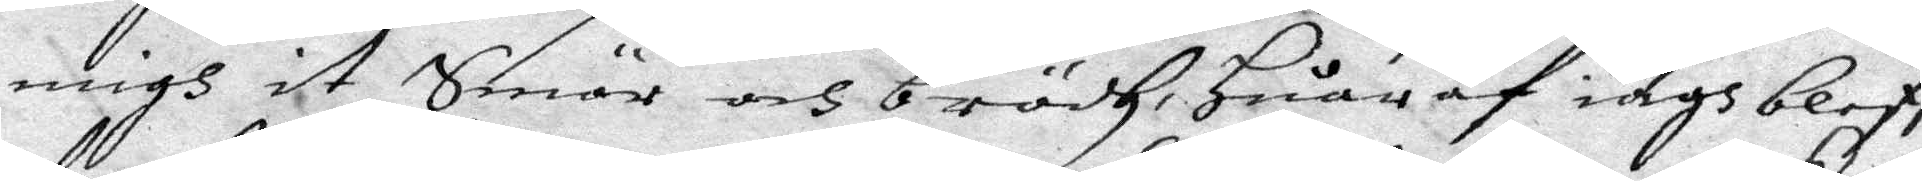migh et Smör och brödh, Huar af iagh bleff
